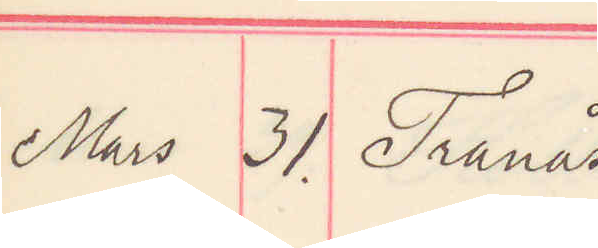Mars 31. Tranås
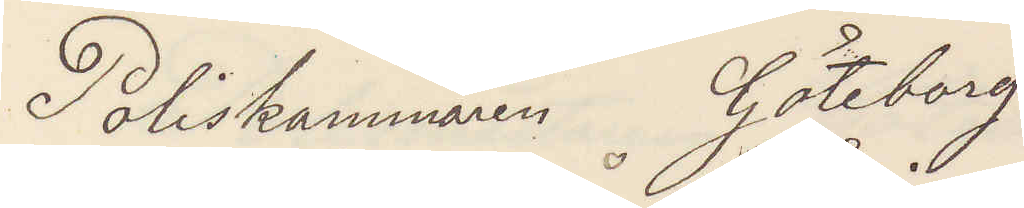Poliskammaren Göteborg
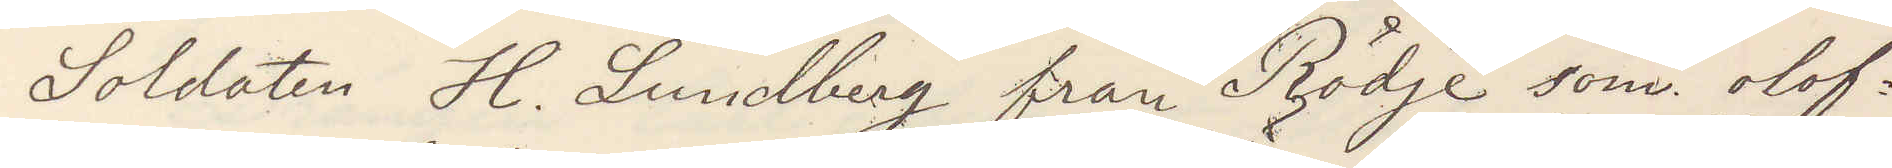Soldaten H. Lundberg från Rödje som olof¬
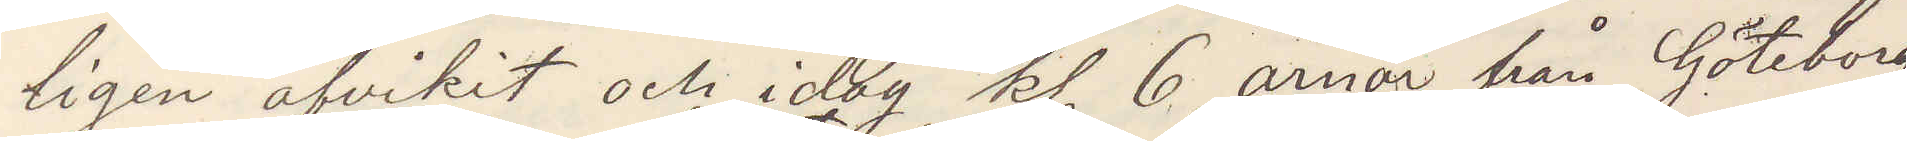ligen afvikit och idag kl 6 ärnar från Göteborg
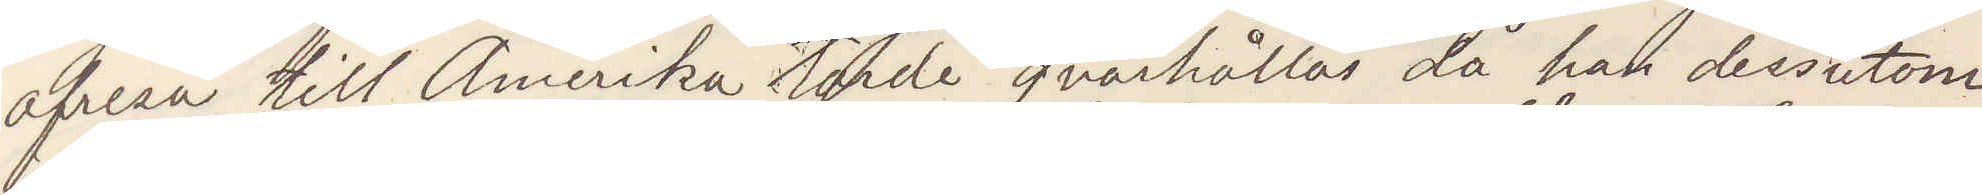afresa till Amerika torde qvarhållas då han dessutom
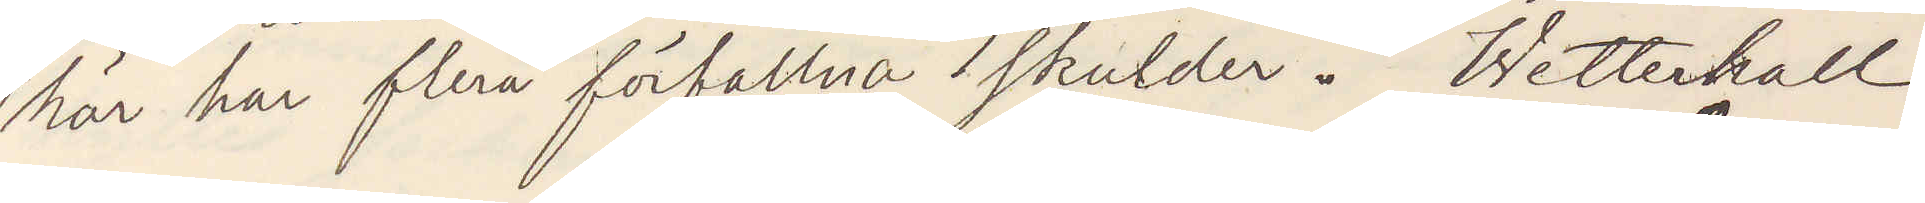här har flera förfallna skulder. Wetterhall
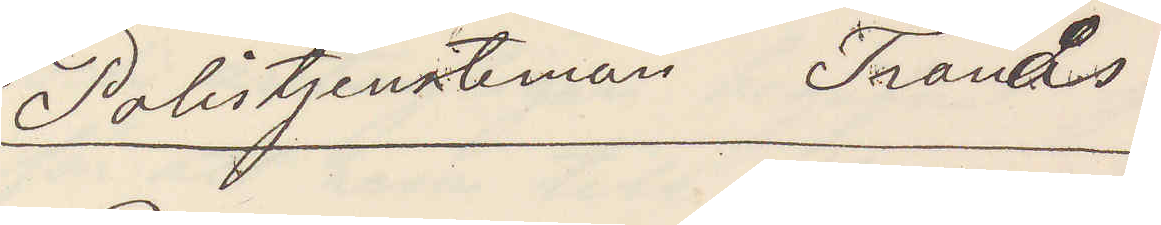Polistjensteman Tranås
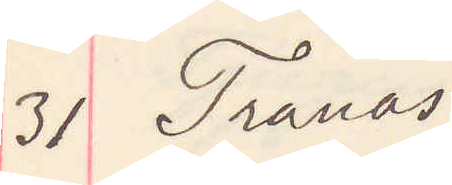31 Tranås
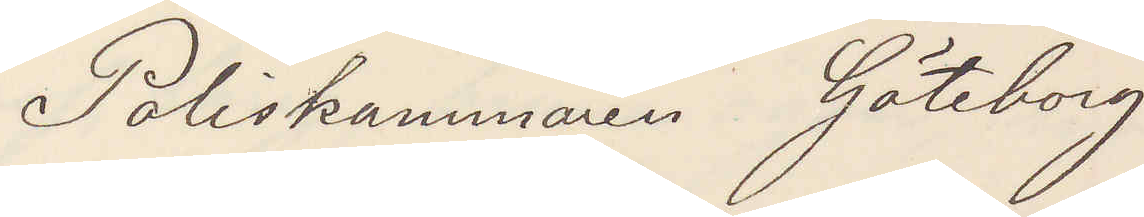Poliskammaren Göteborg
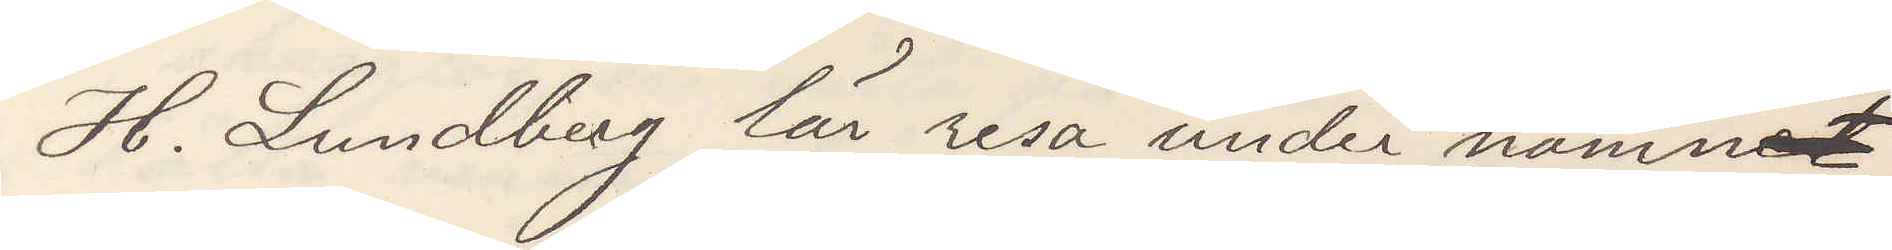H. Lundberg lär resa under nmnet
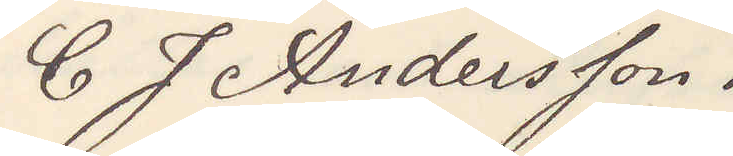C J Andersson.
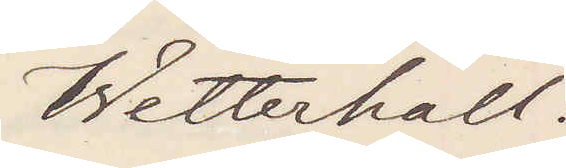Wetterhall.
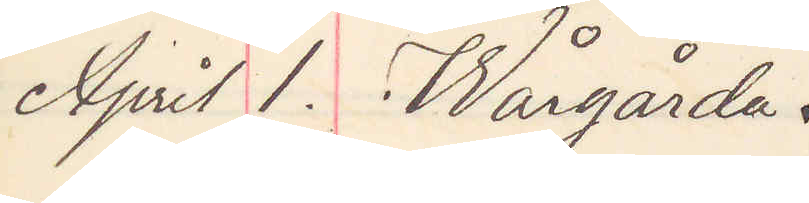April 1. Wårgårda.
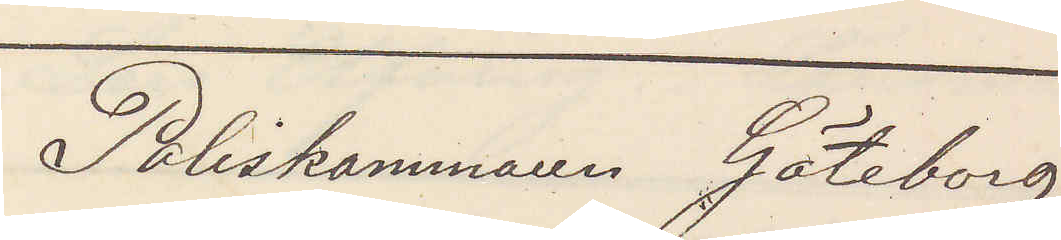Poliskammaren Göteborg
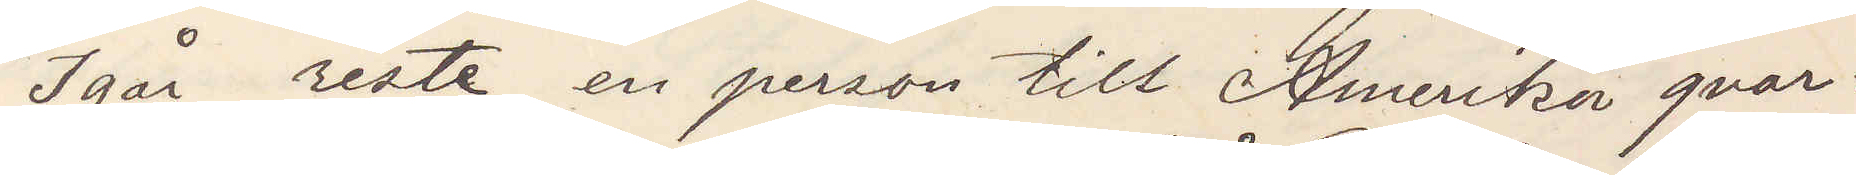Igår reste en person till Amerika qvar¬
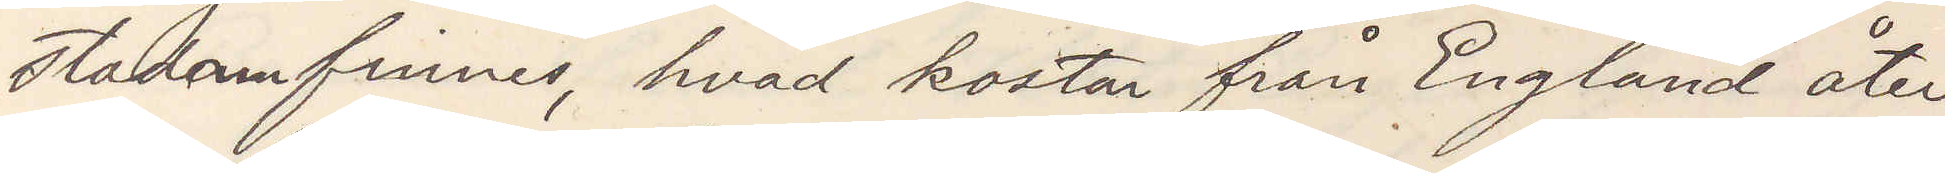stadanm finnes, hvad kostar från England åter¬
